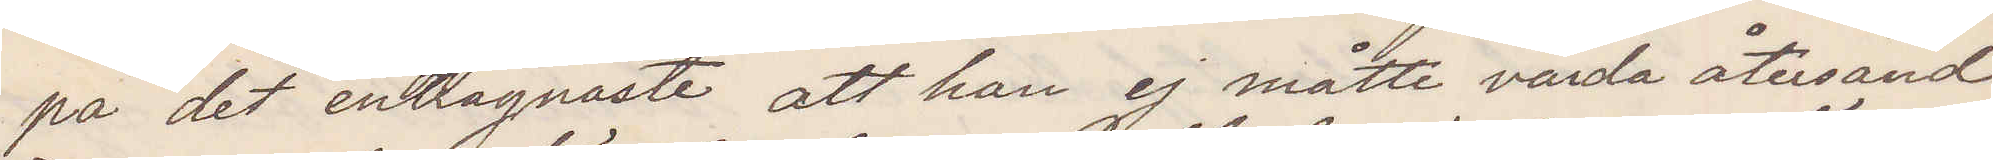på det enträgnaste att han ej måtte varda återsänd.
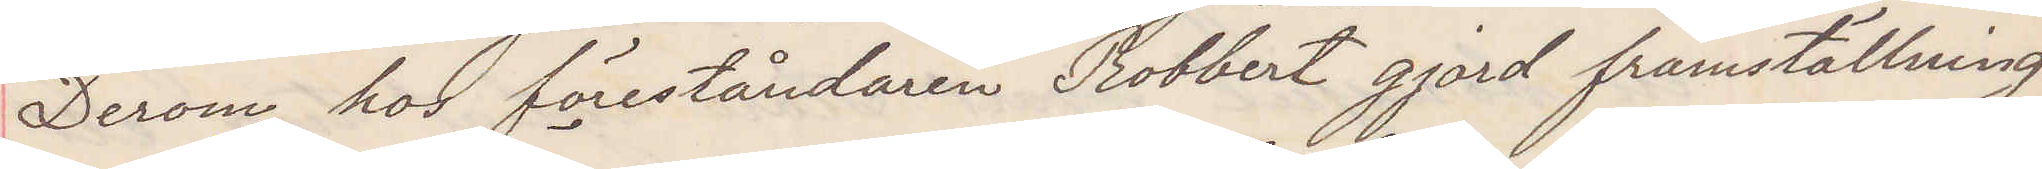Derom hos föreståndaren Robbert gjord framställning
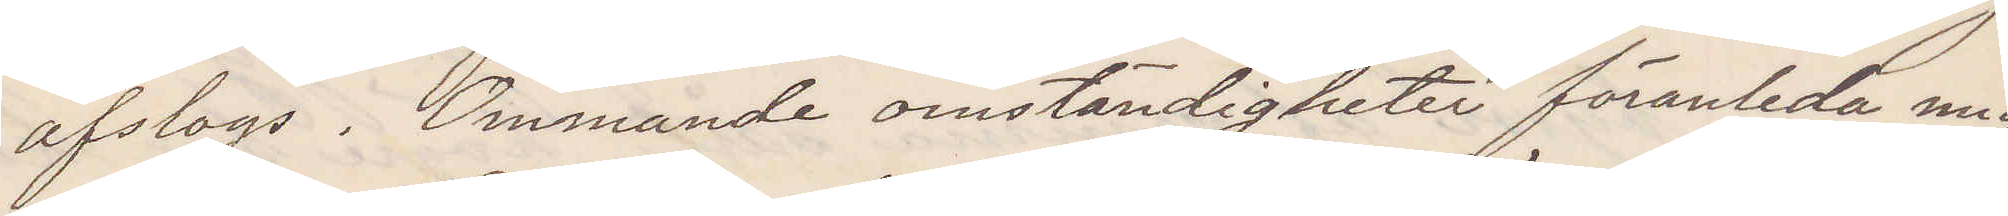afslogs. Ömmande omständigheter föranleda mig
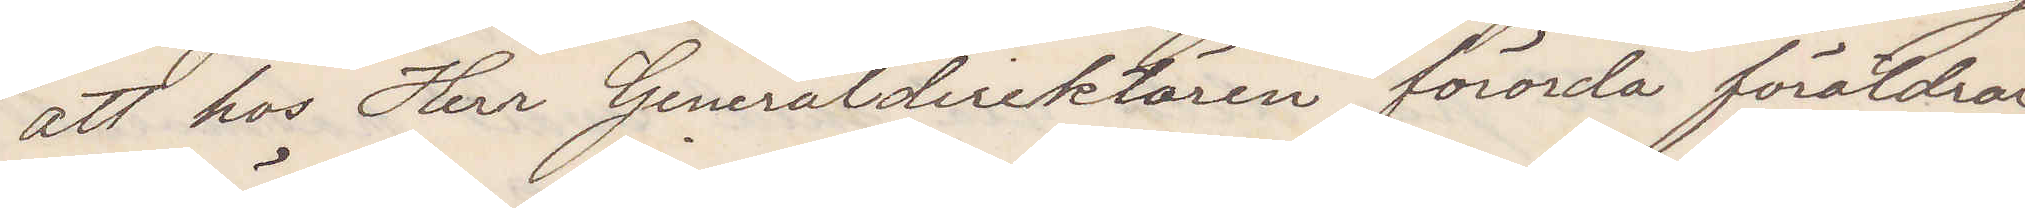att hos Herr Generaldirektören förorda föräldrar¬
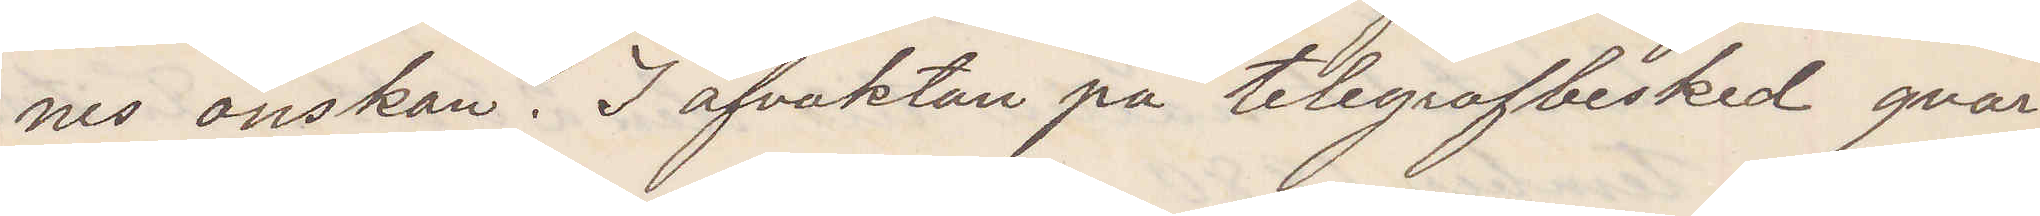nes önskan I afvaktan på telegrafbesked qvar¬
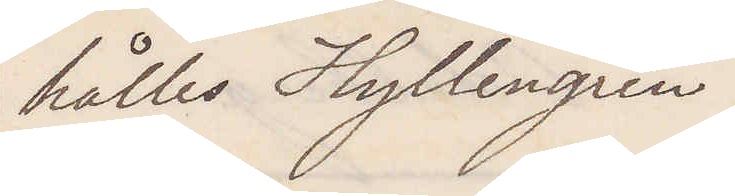hålles Hyllengren.
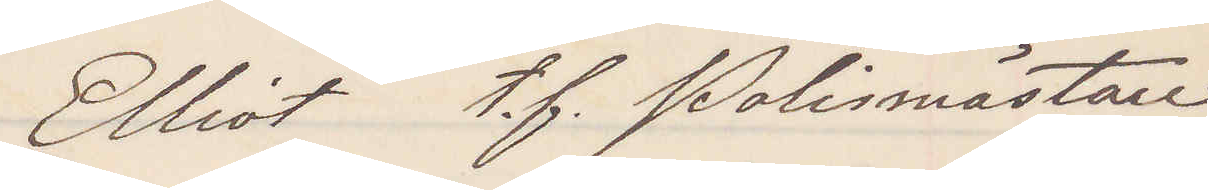Elliot t. f. Polismästare
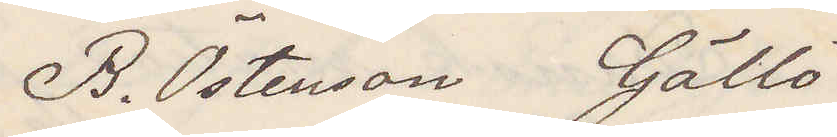B Östenson Gällö
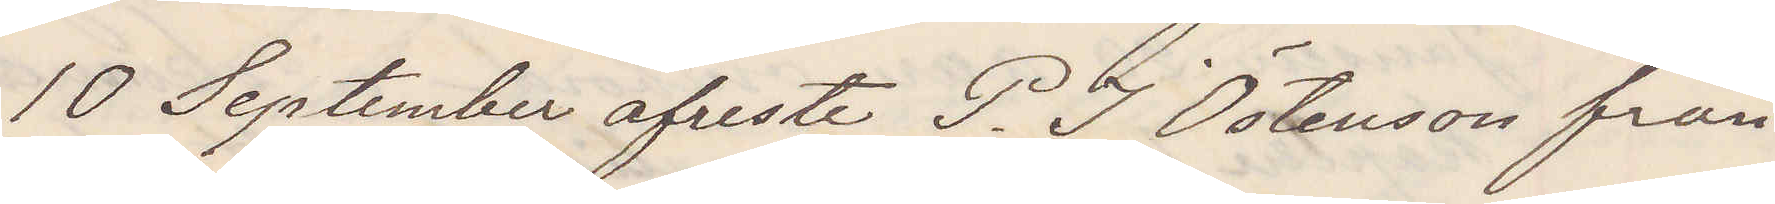10 September afreste P. J. Östenson från
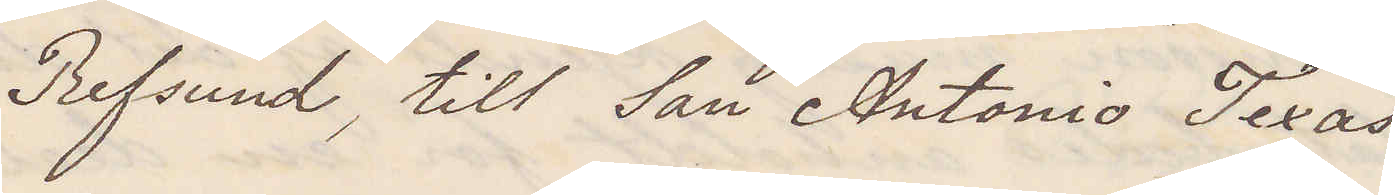Befsund till San Antonio Texas
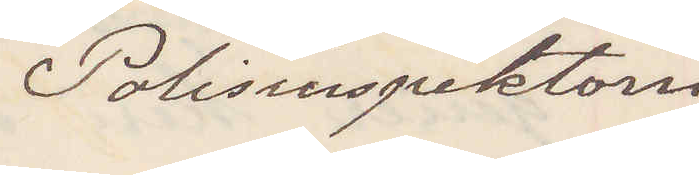Polisinspektorn
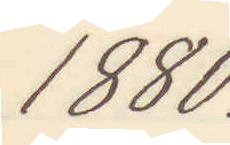1880.
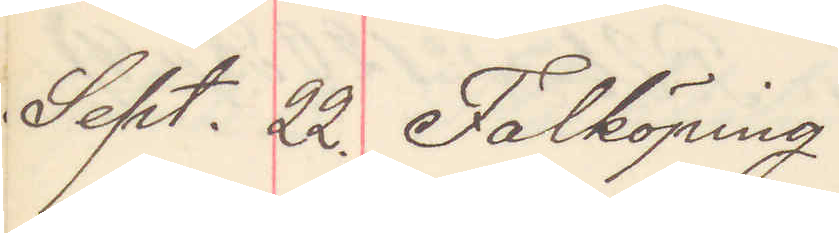Sept. 22. Falköping
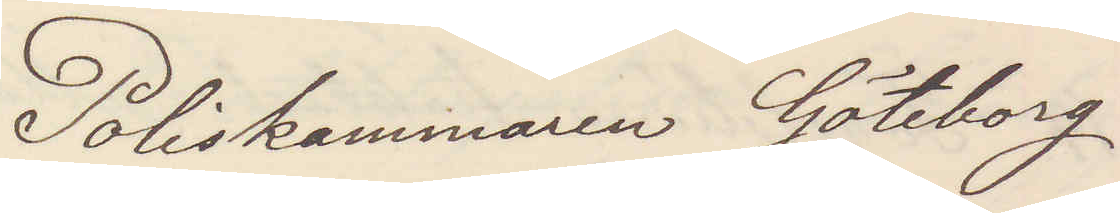Poliskammaren Göteborg
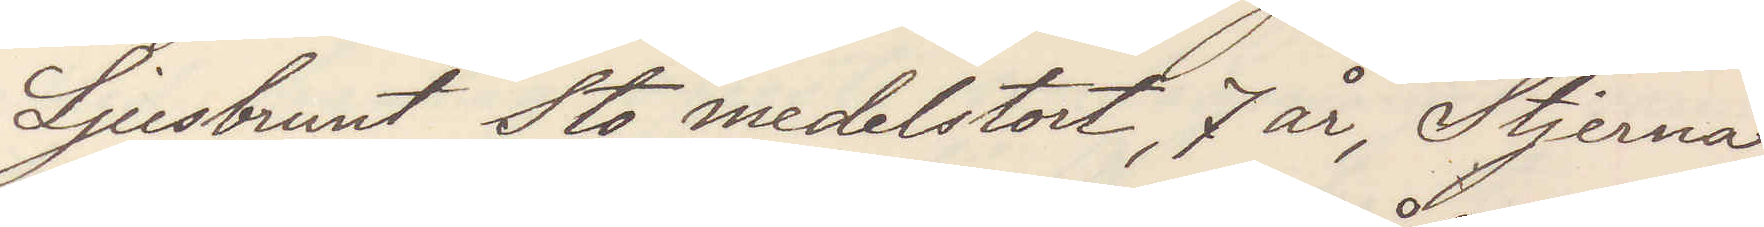Ljusbrunt Sto, medelstort, 7 år, Stjerna
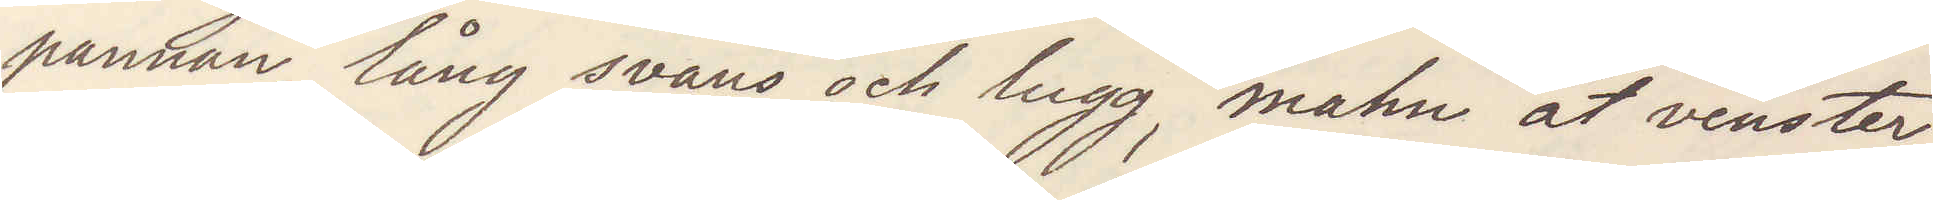pannan, lång svans och lugg, mahn åt venster,
